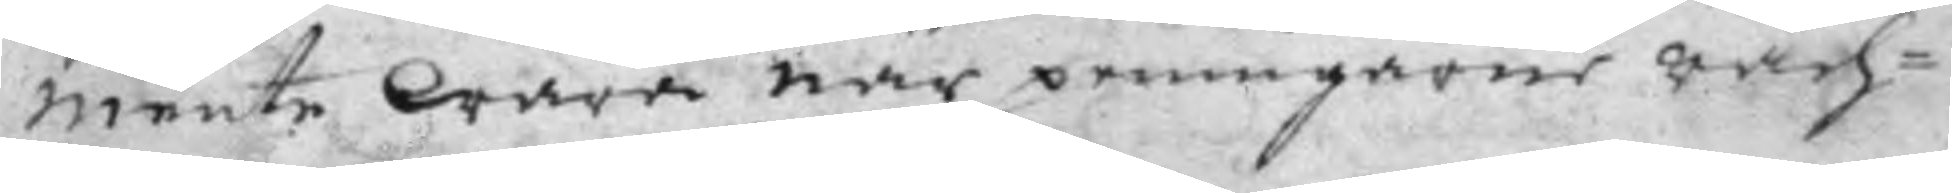mente Wara när peningarne räch¬
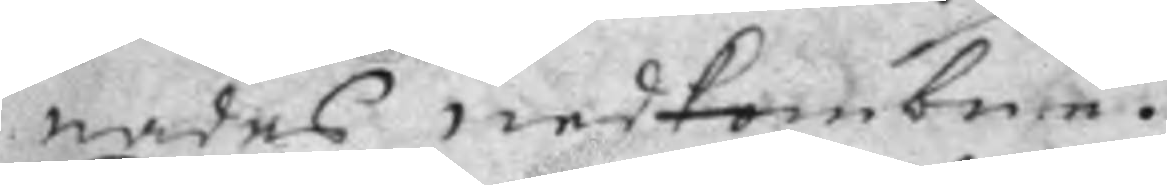nades nedkombne.
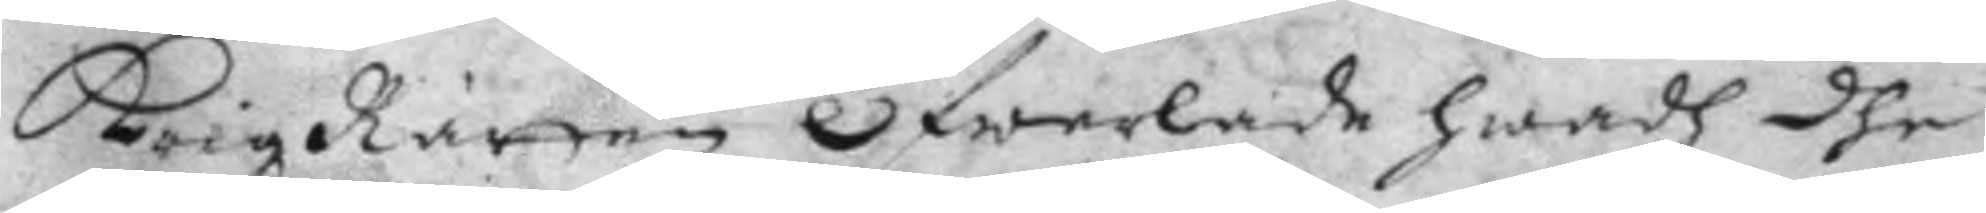KrigzRätten Öfwerlade hwadh dhe
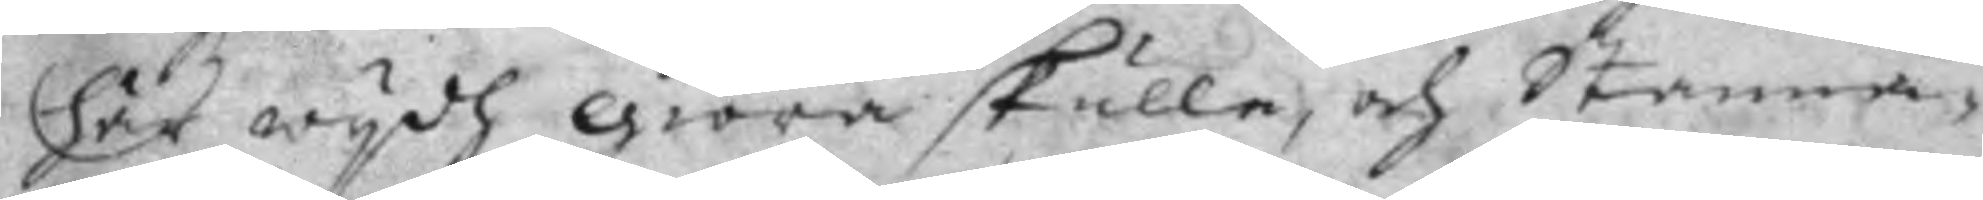här wydh giöra skulle, och Stanna¬
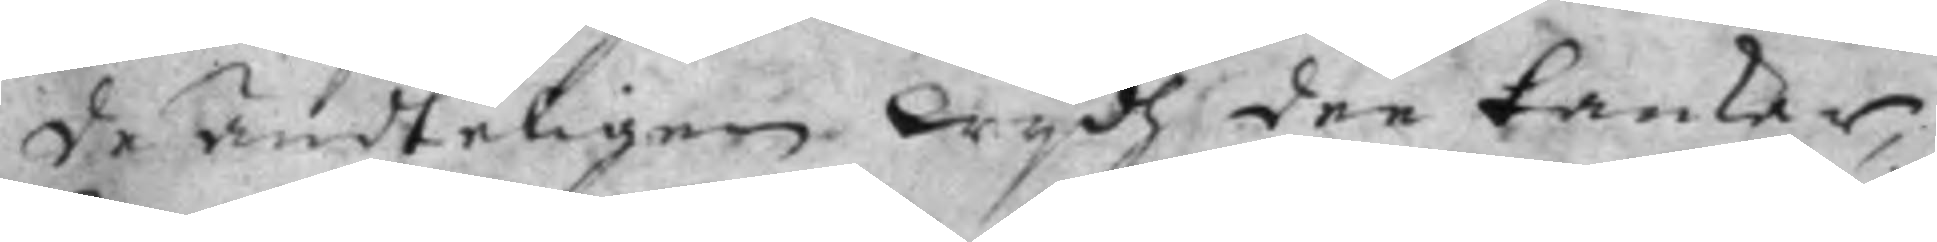de ändteligen Wydh dee tankar,
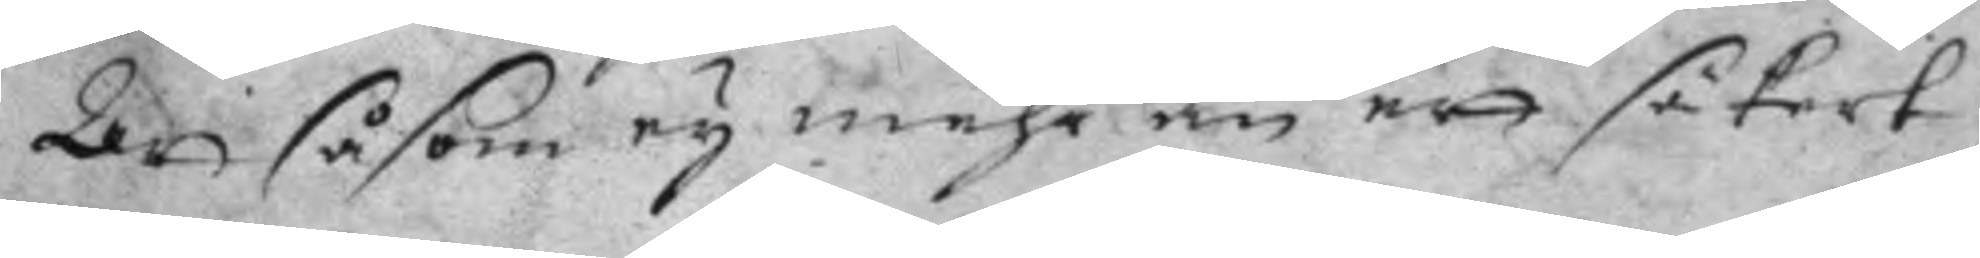Att såsom ey mehr än ett säkert
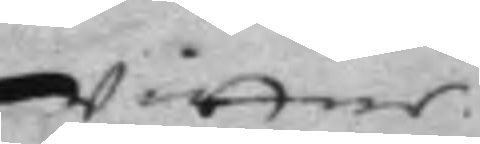wittne
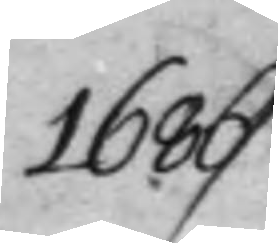1686
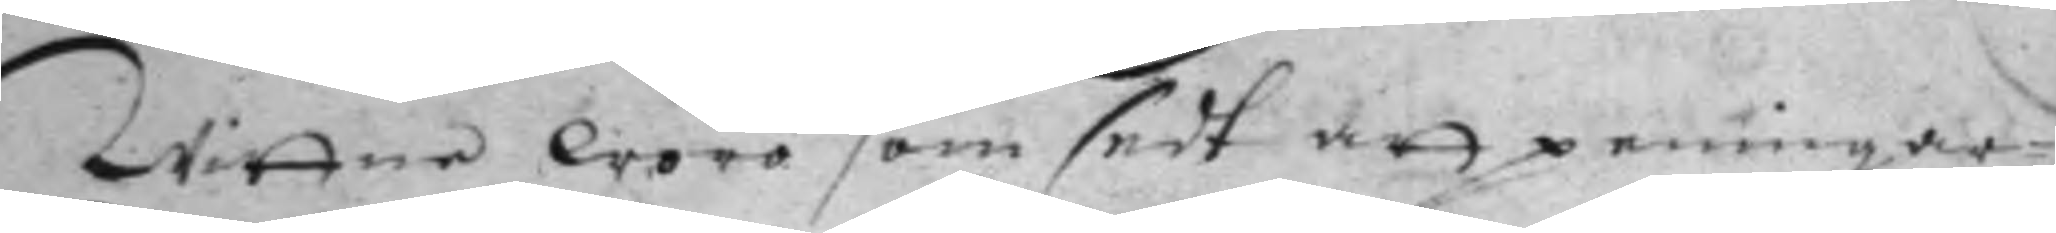Wittne woro som sedt att peningar¬
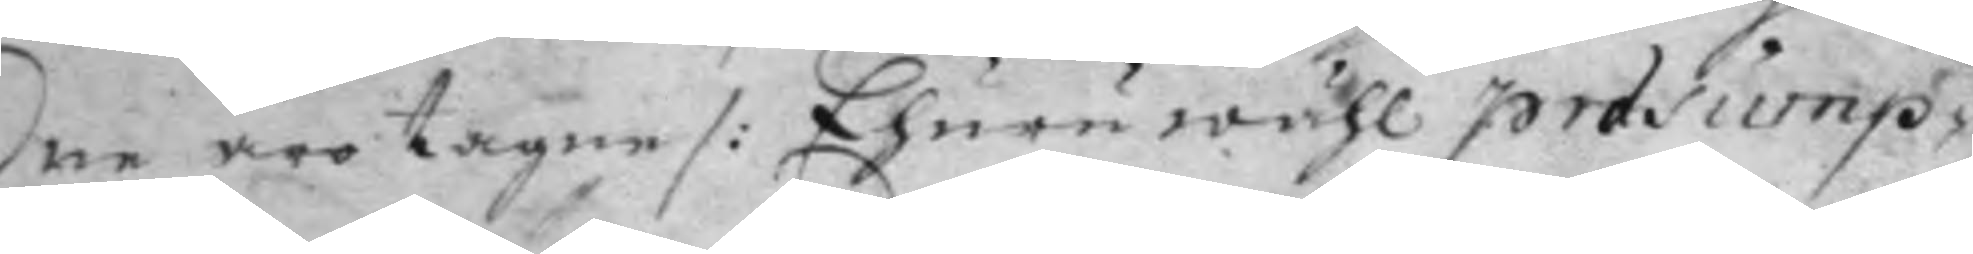ne äro tagne /: Ehuruwähl prasump¬
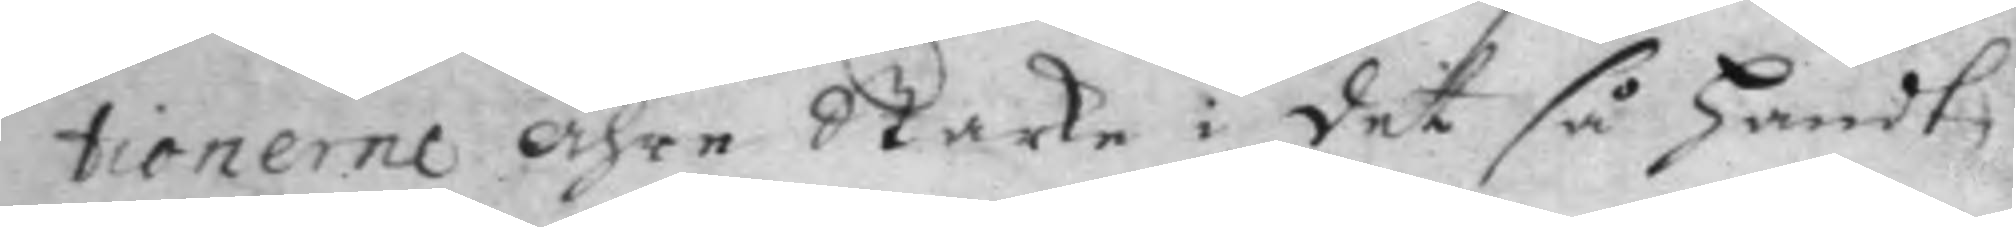tionerne ähre Starke i det så handt¬
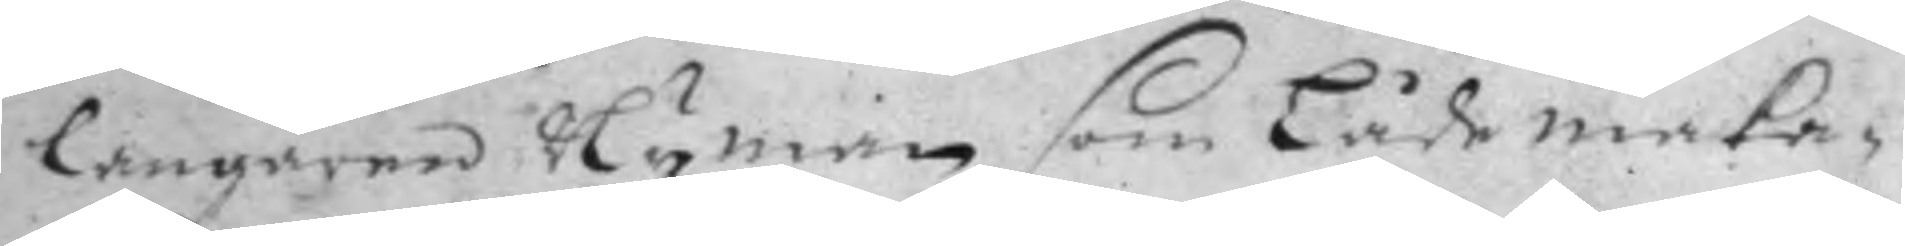langaren Nyman som Lådemaka¬
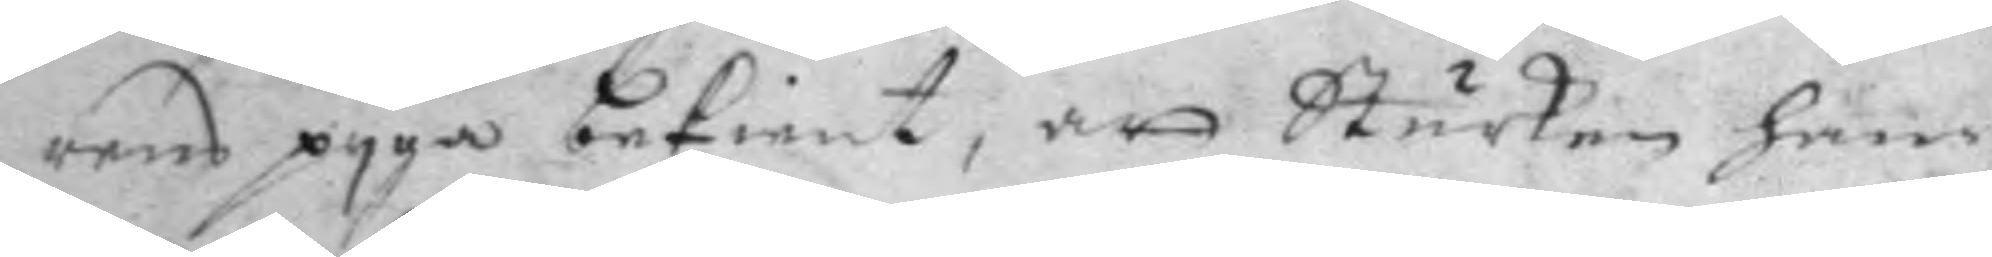rens pyga bekient, at Sturken han¬
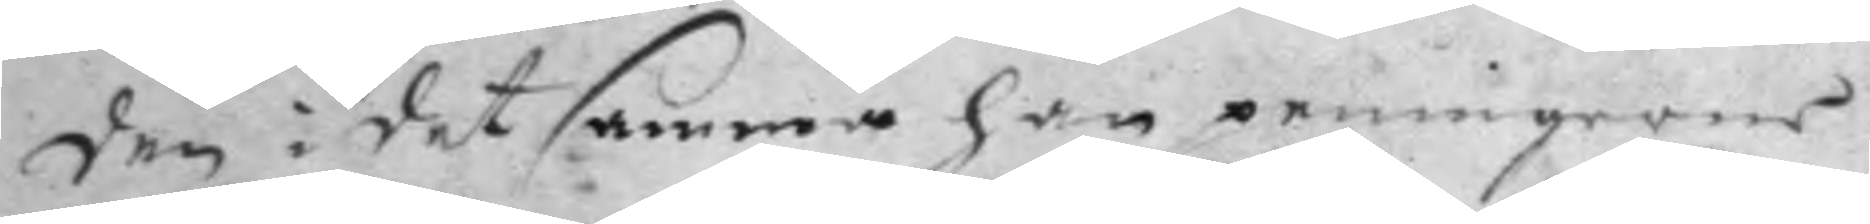den i det samma han peningarne
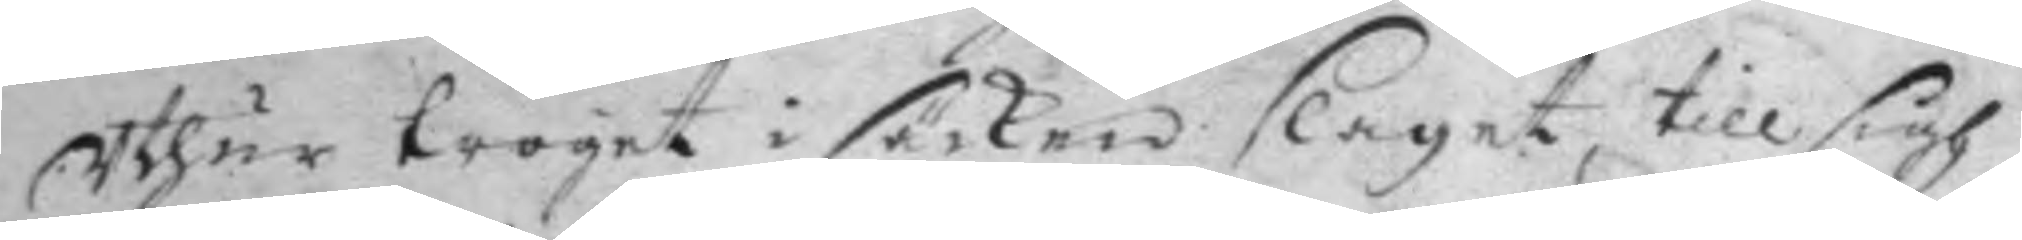Uthur troget i säcken slaget till sigh
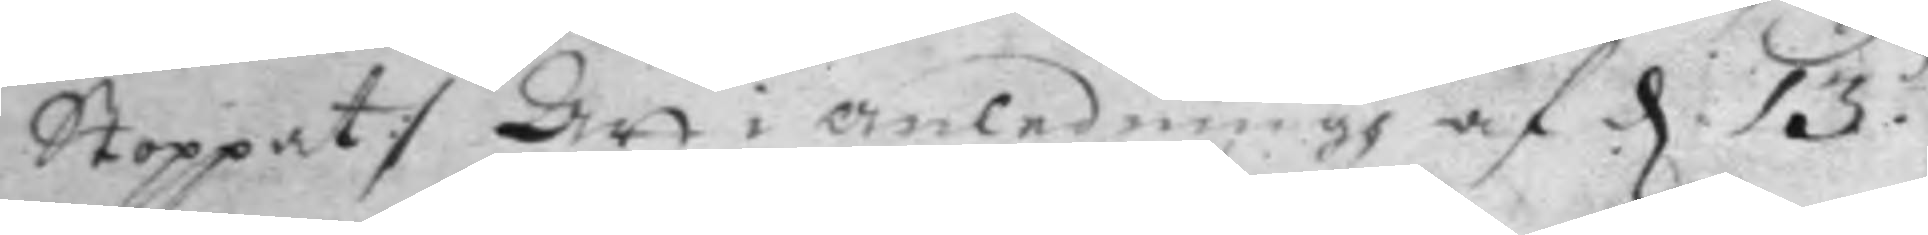Stoppat :/ Att i anledningh af d. 13de 
